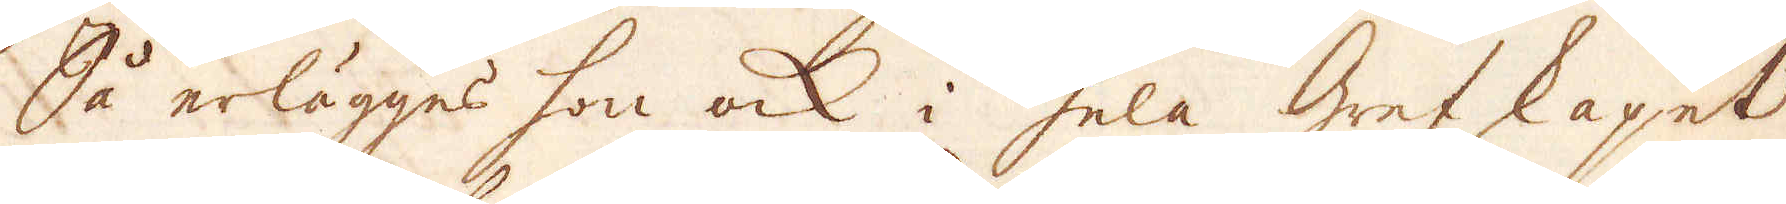Så erlägges hon ock i hela Grefskapet
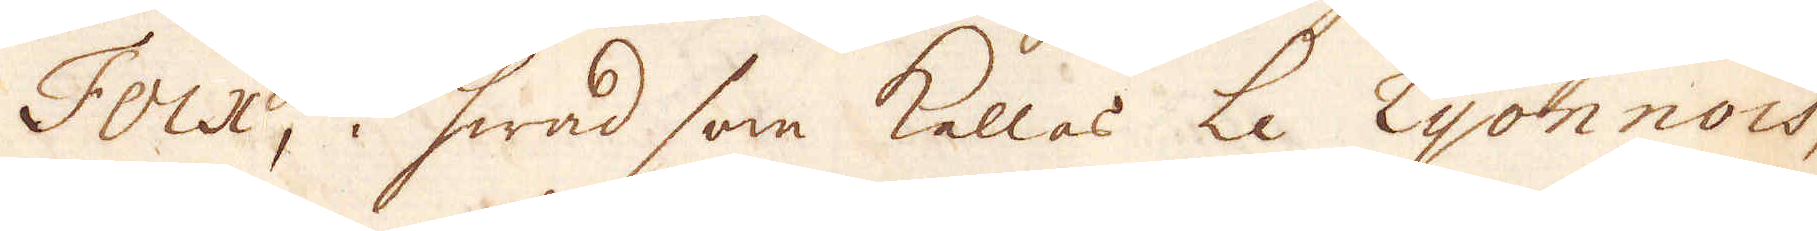Foix, i hwad som kallas Le Lyonnois,
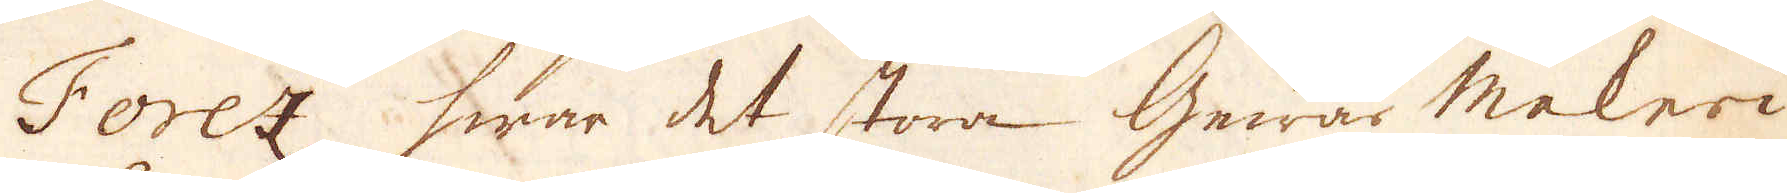Forez hwar det stora Gewärmakeri
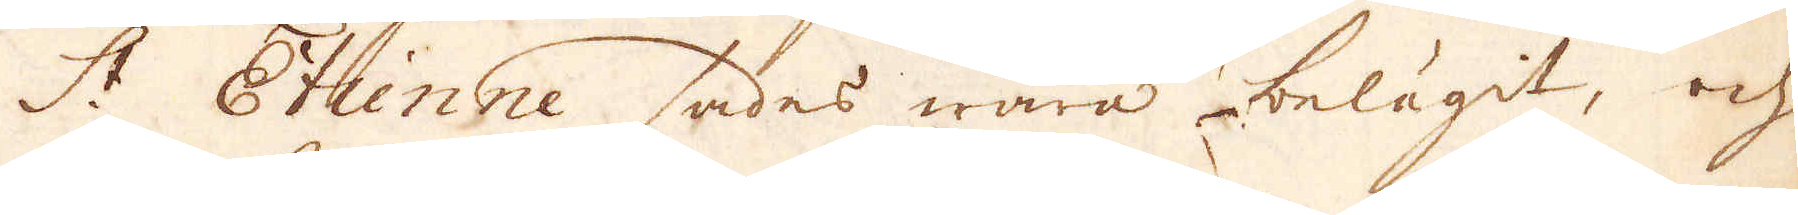S:t Etienne sades wara belägit, och
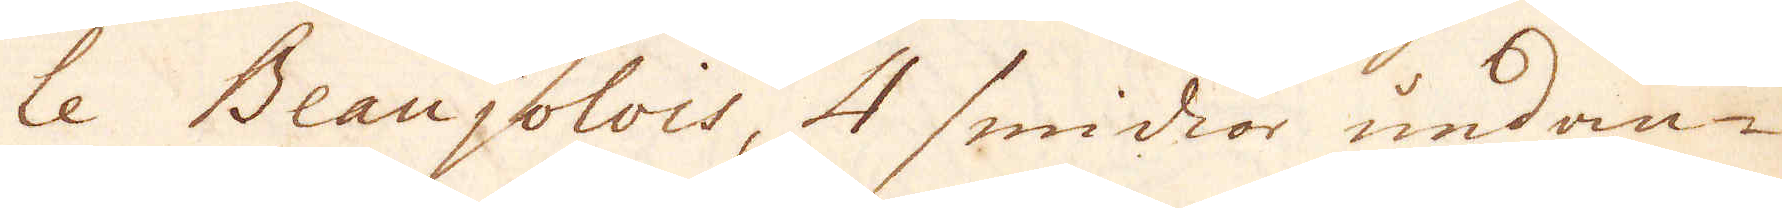le Beaujolois, 4 smidior undan-
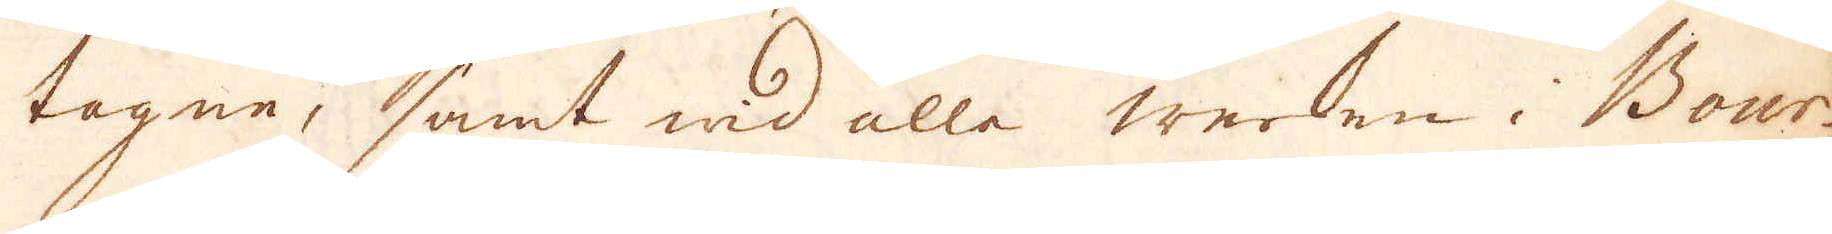tagne, samt wid alla werken i Bour-
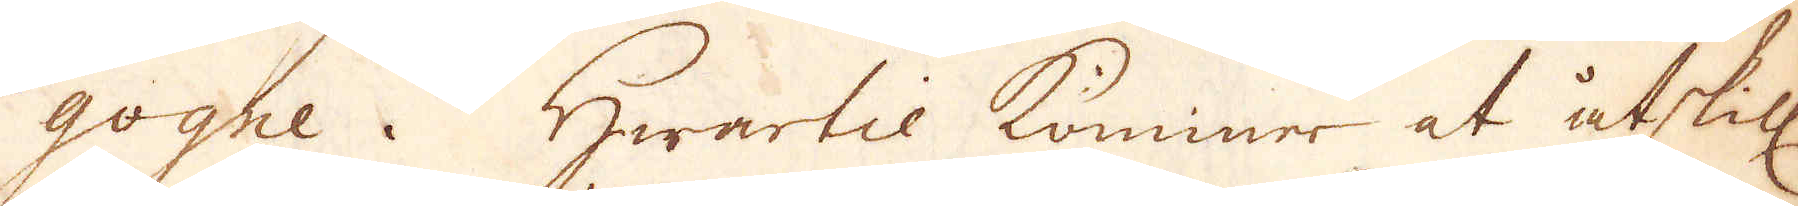gogne. Hwartil kommer at åtskill.
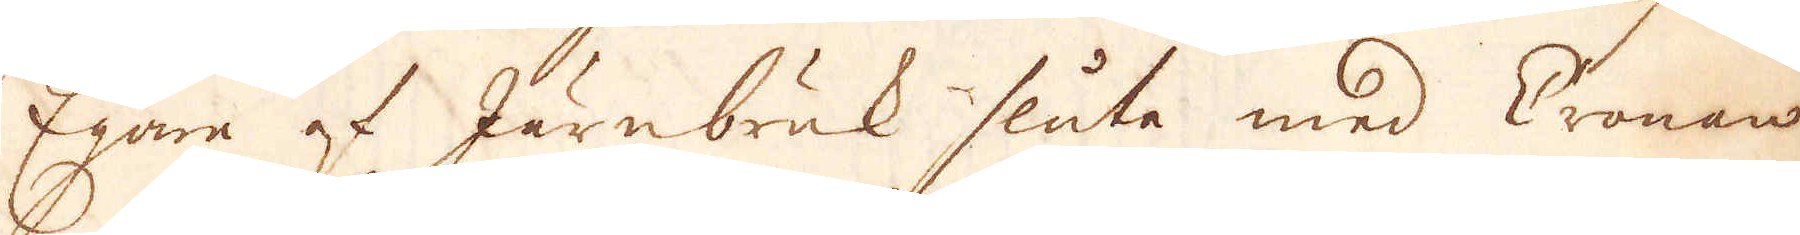Egare af Järnbruk sluta med Cronan
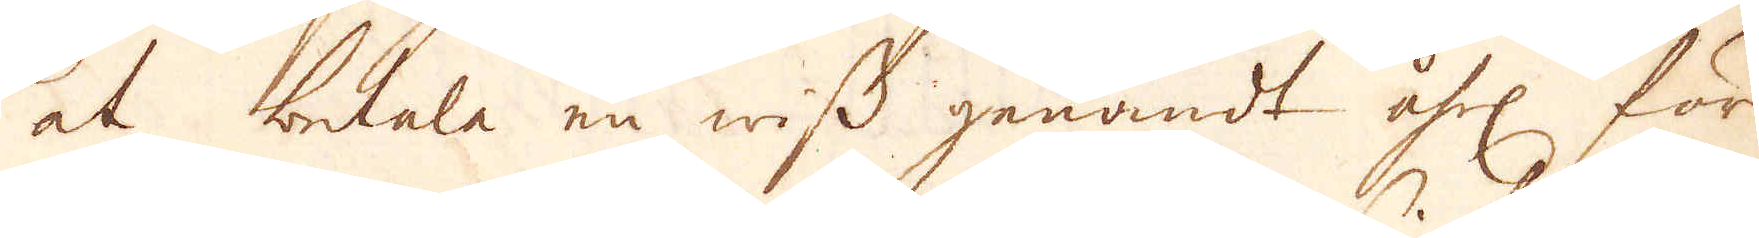at betala en wiss genandt åhrl. för
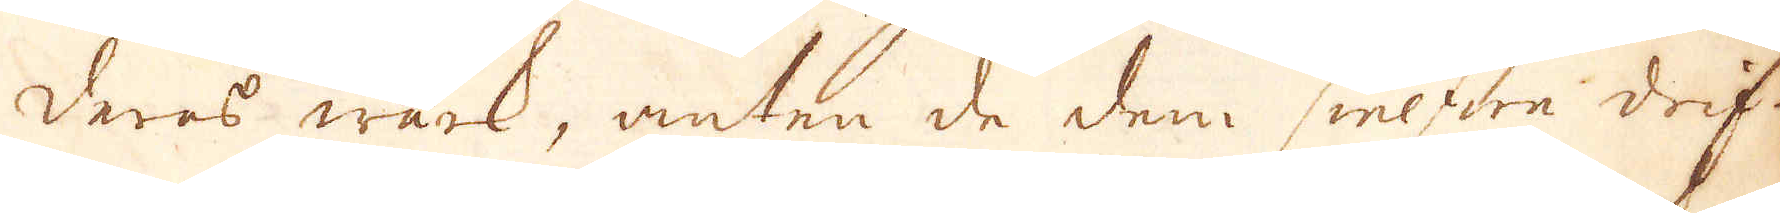deres wärk, anten de dem sielfwe drif-
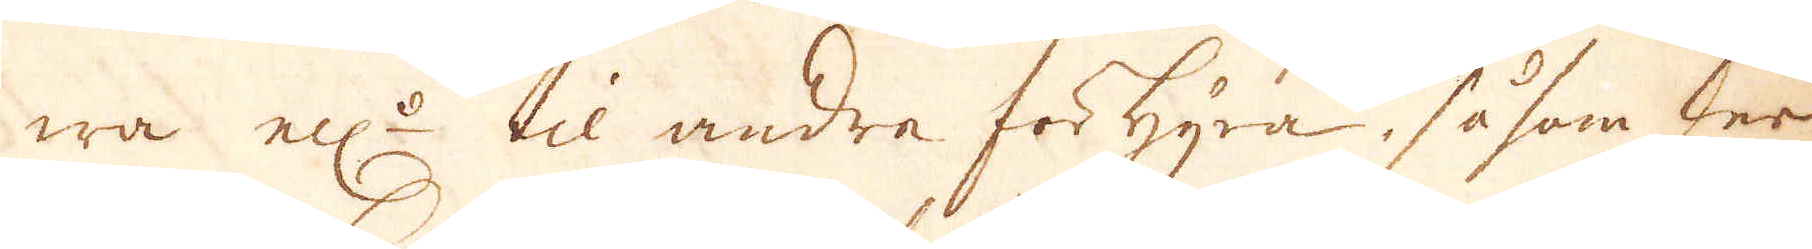wa ell:r til andre förhyra, såsom der
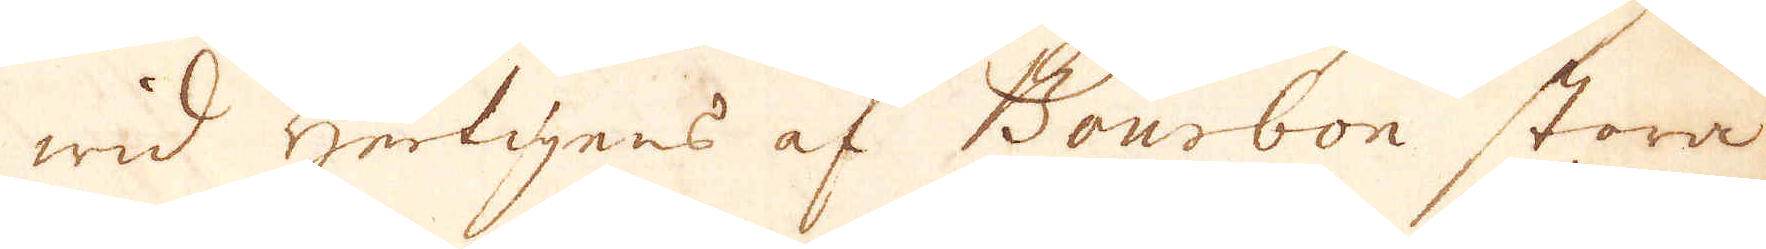wid Hertigens af Bourbon stora
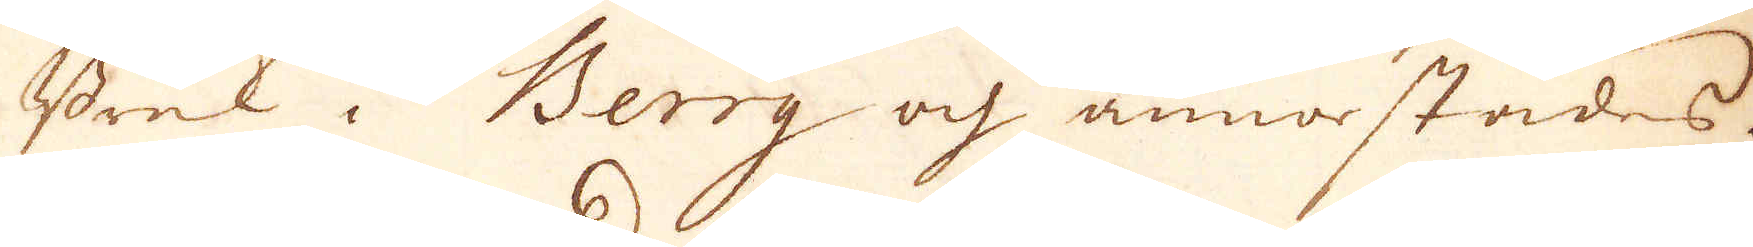Bruk i Berry och annorstädes.
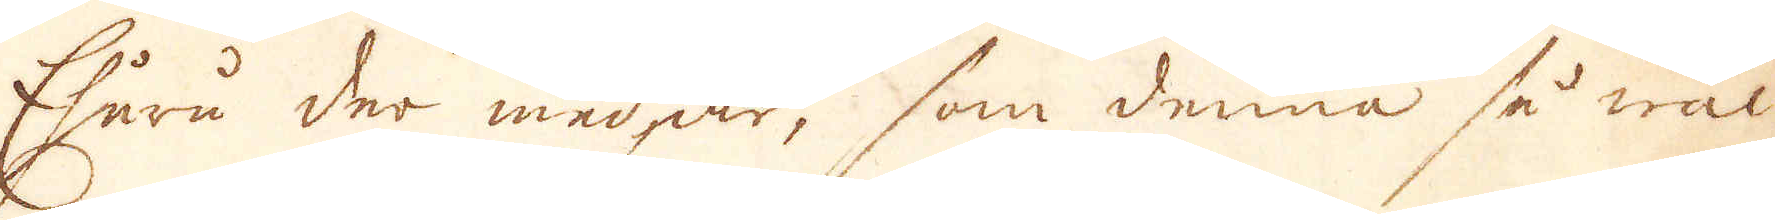Ehuru der med är, som denna så wäl
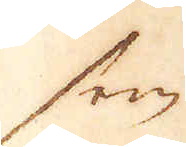som
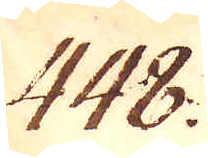448.
